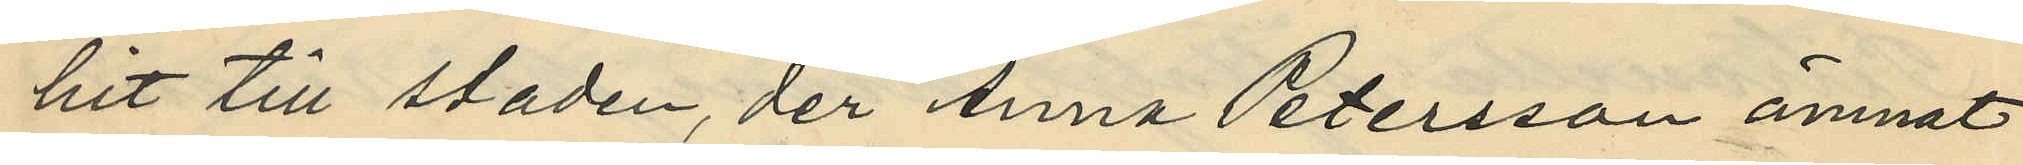hit till staden, der Anna Petersson ämnat
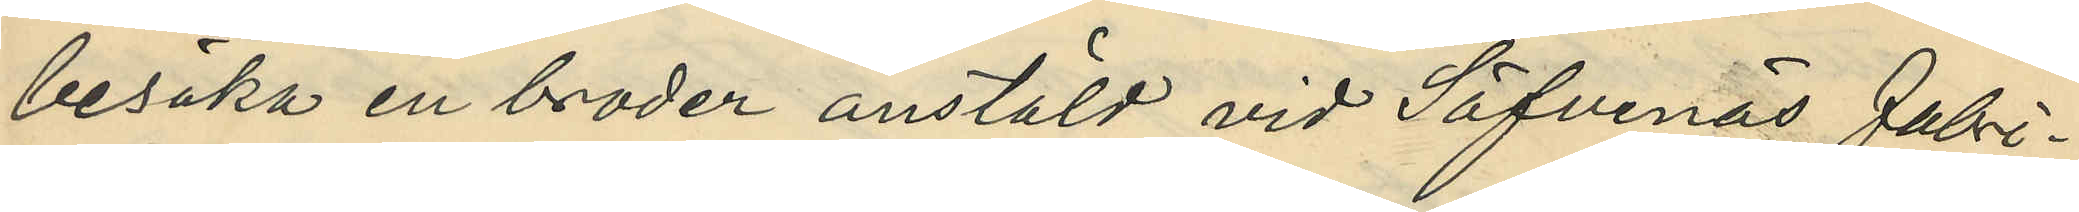besöka en broder anstäld vid Säfvenäs Fabri¬
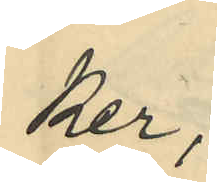ker;
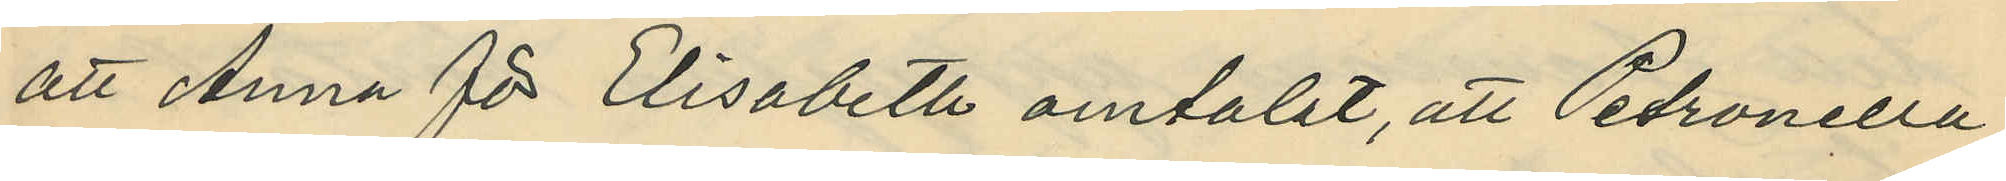att Anna för Elisabeth omtalat, att Petronella
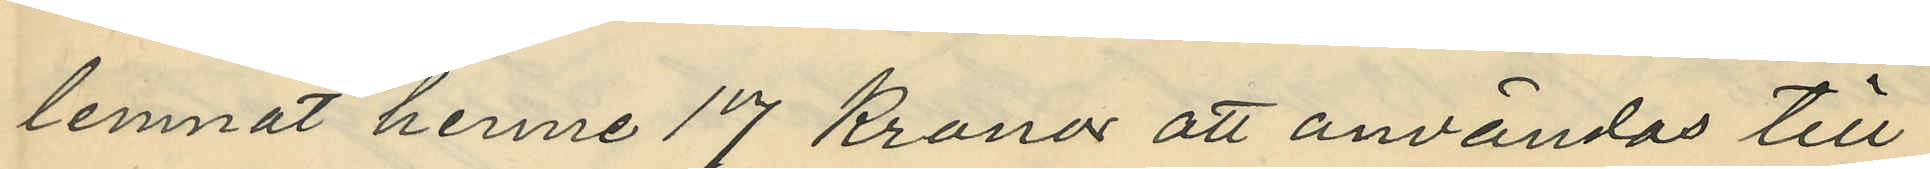lemnat henne 17 Kronor att användas till
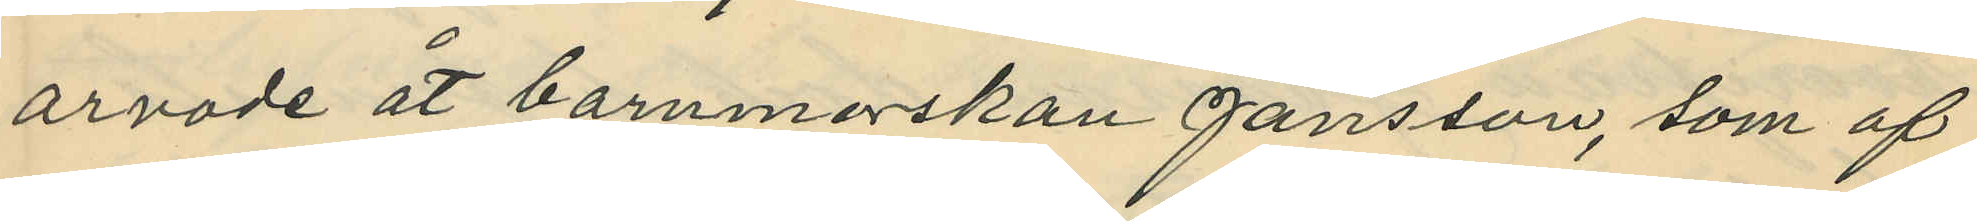arvode åt barnmorskan Jansson, som af
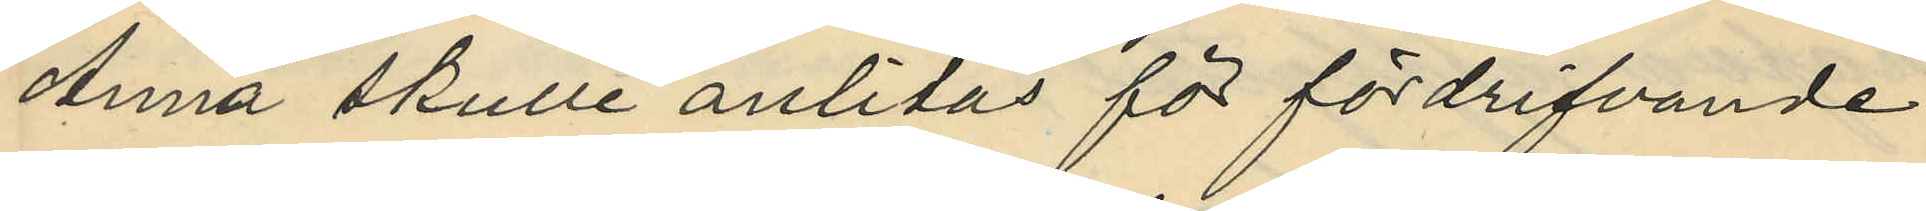Anna skulle anlitas för fördrifvande
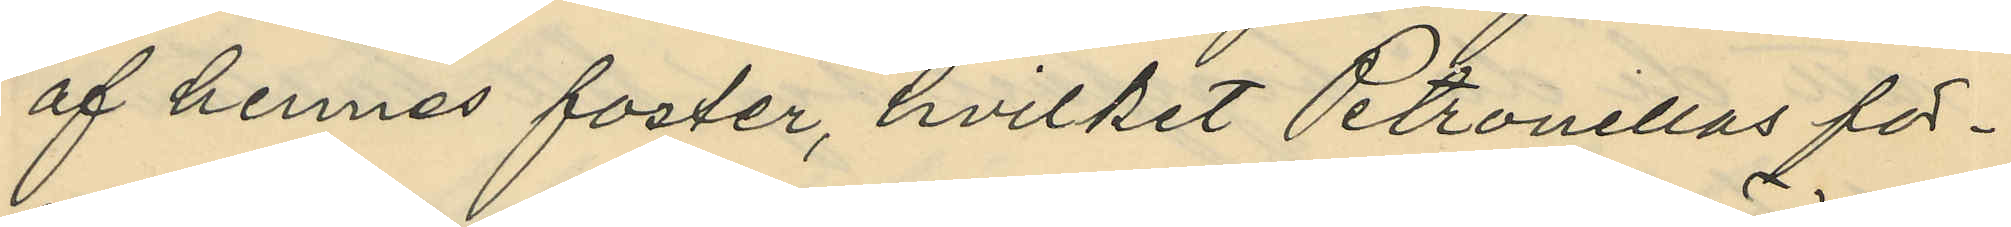af hennes foster, hvilket Petronellas för¬
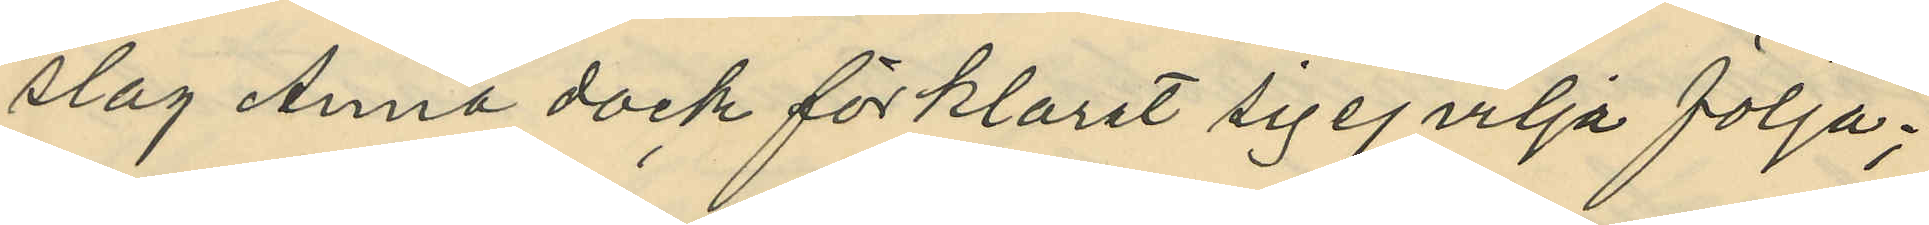slag Anna dock förklarat sig ej vilja följa;
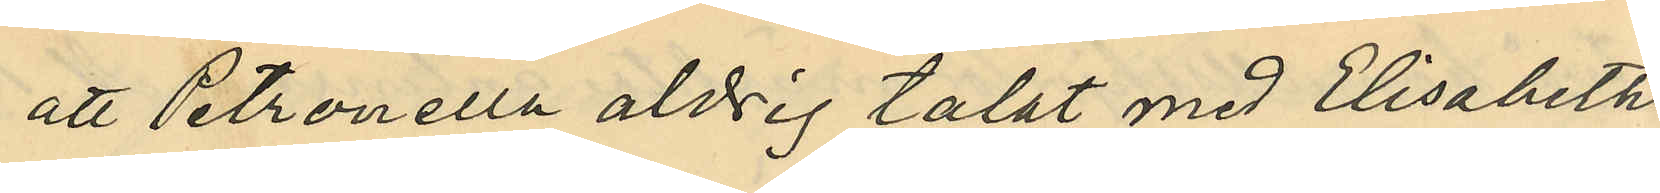att Petronella aldrig talat med Elisabeth
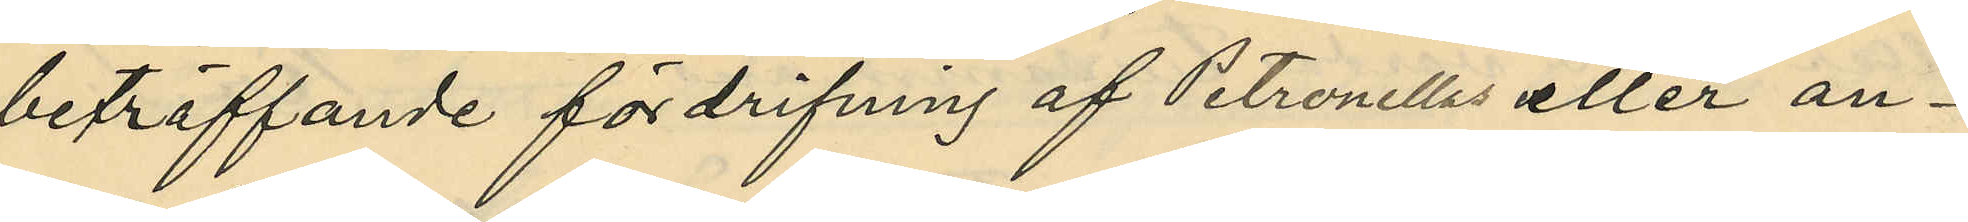beträffande fördrifning af Petronellas eller an¬
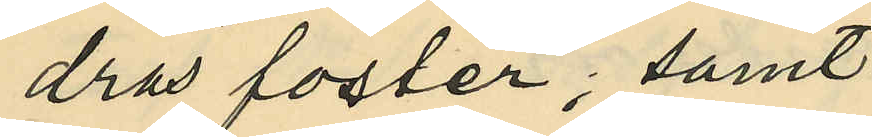dras foster; samt
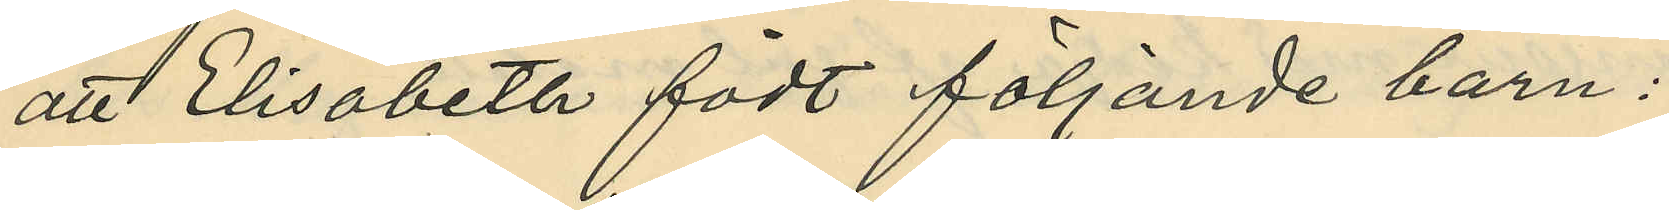att Elisabeth födt följande barn:
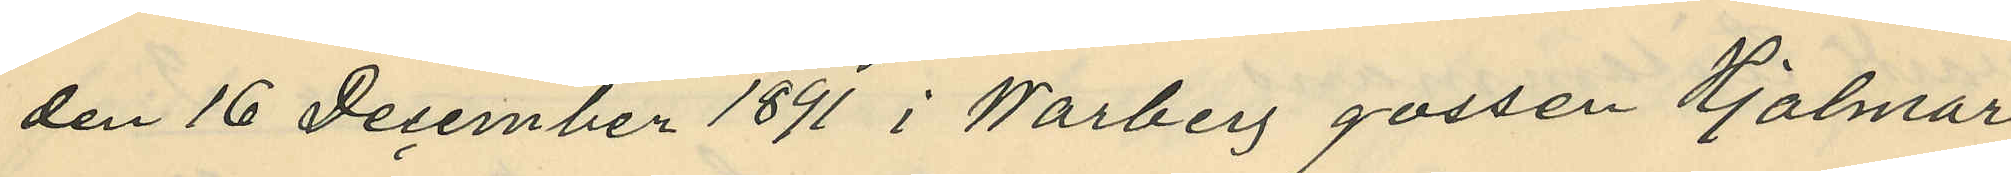den 16 December 1891 i Warberg gossen Hjalmar
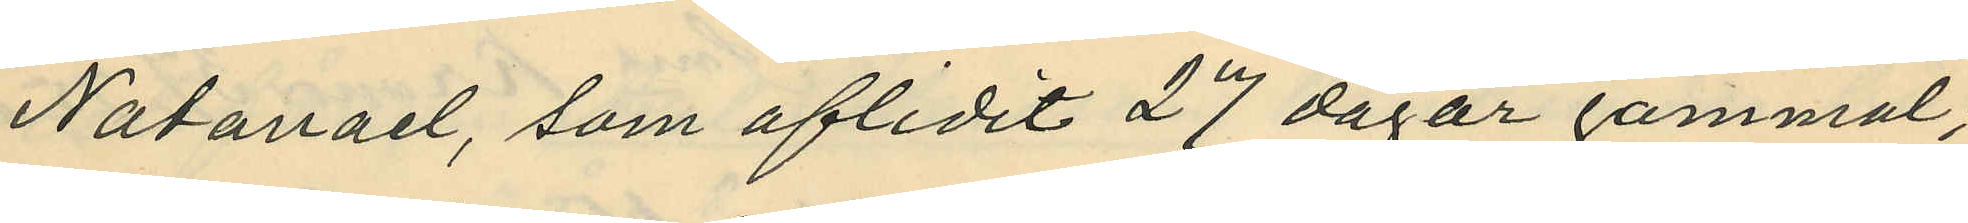Natanael, som aflidit 27 dagar gammal,
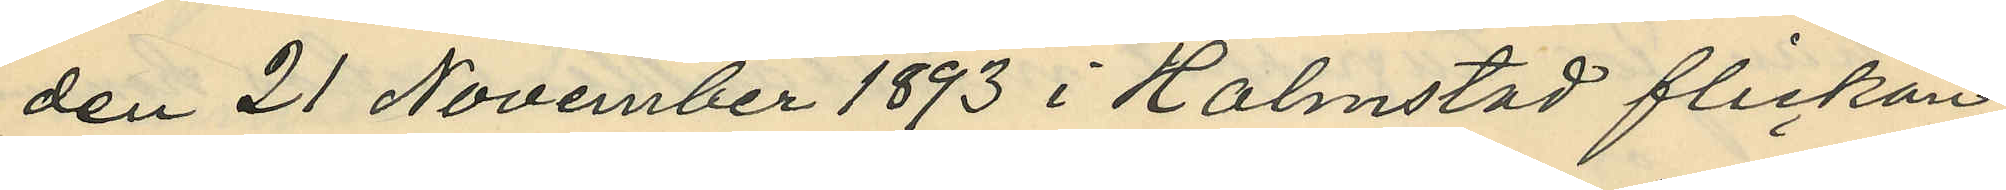den 21 November 1893 i Halmstad flickan
